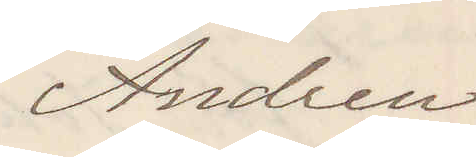Andren.
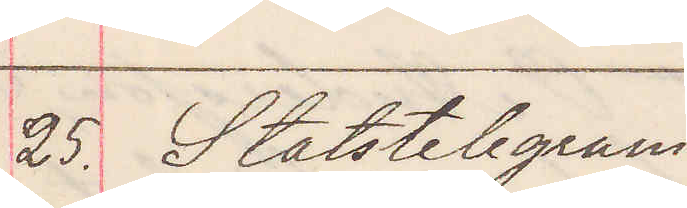25. Statstelegram.
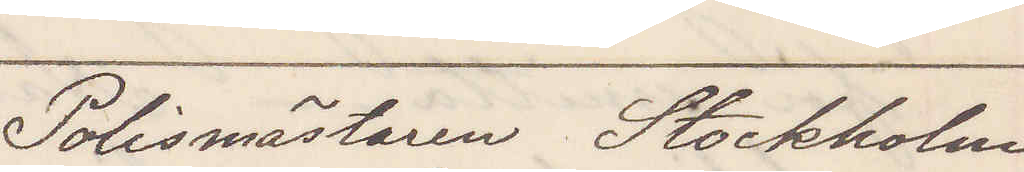Polismästaren Stockholm
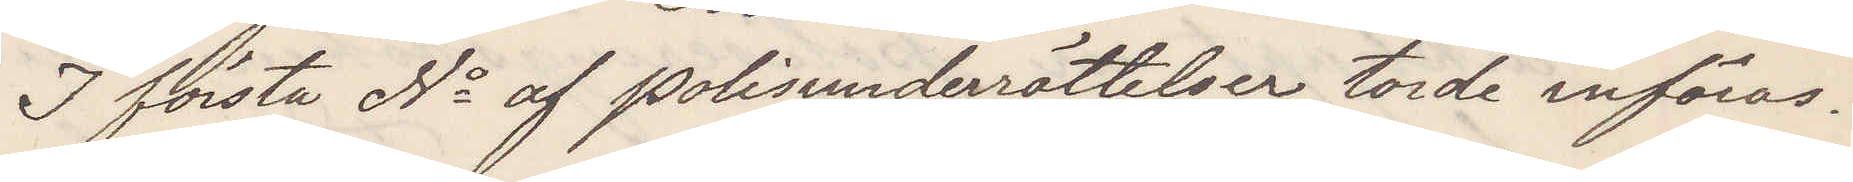I första No af polisunderrättelser torde införas.
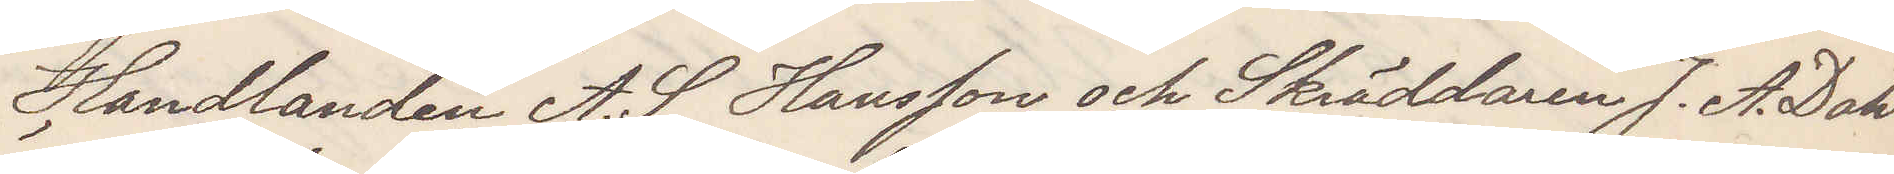Handlanden A. S. Hansson och Skräddaren J. A. Dahl¬
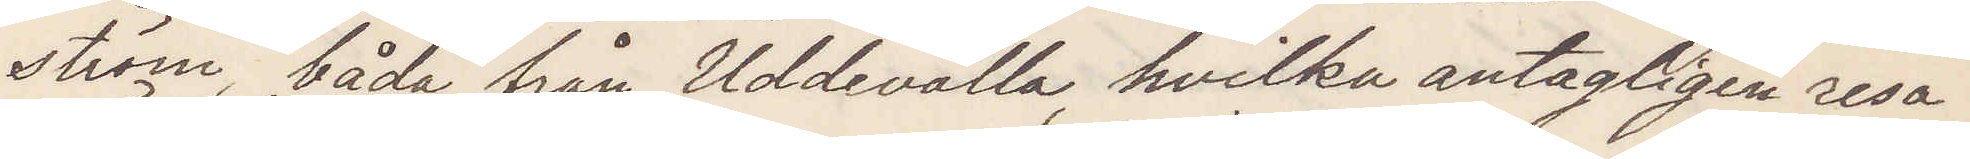ström båda från Uddevalla, hvilka antagligen resa 
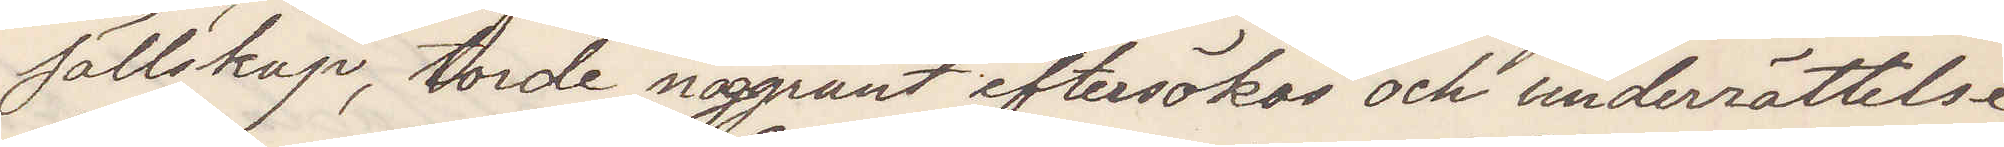sällskap, torde noggrant eftersökas och underrättelse
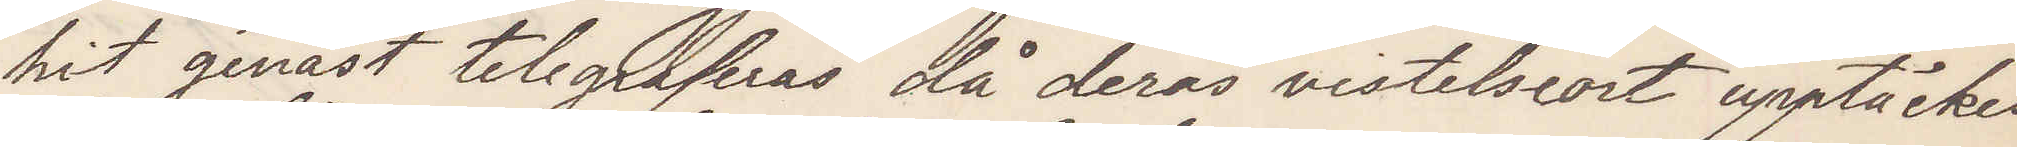hit genast telegraferas då deras vistelseort upptäckes
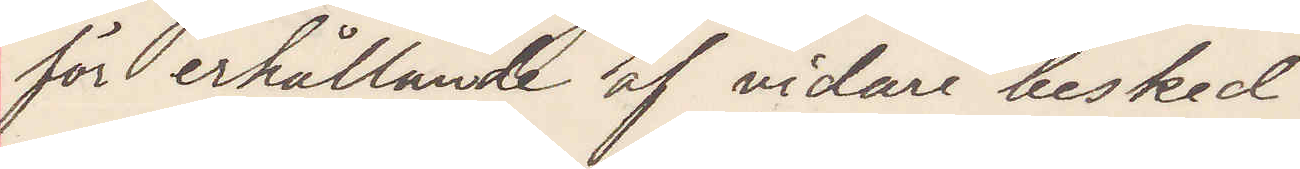för erhållande af vidare besked.
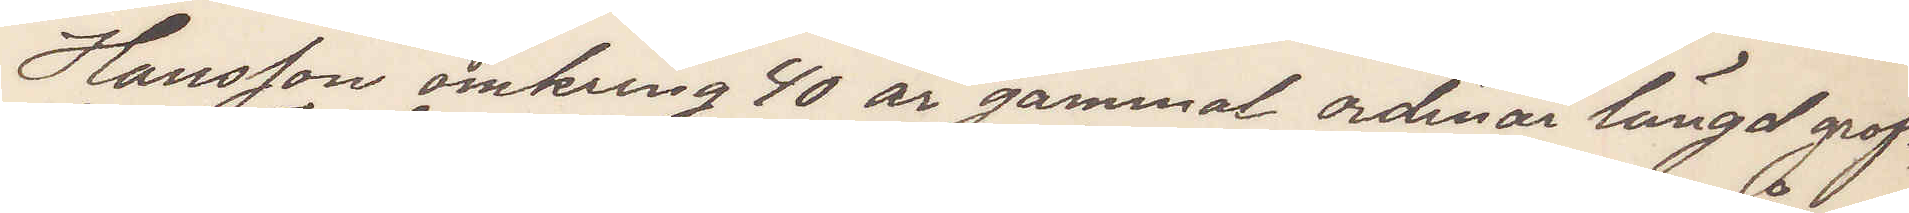Hansson omkring 40 år gammal ordinär längd groft,
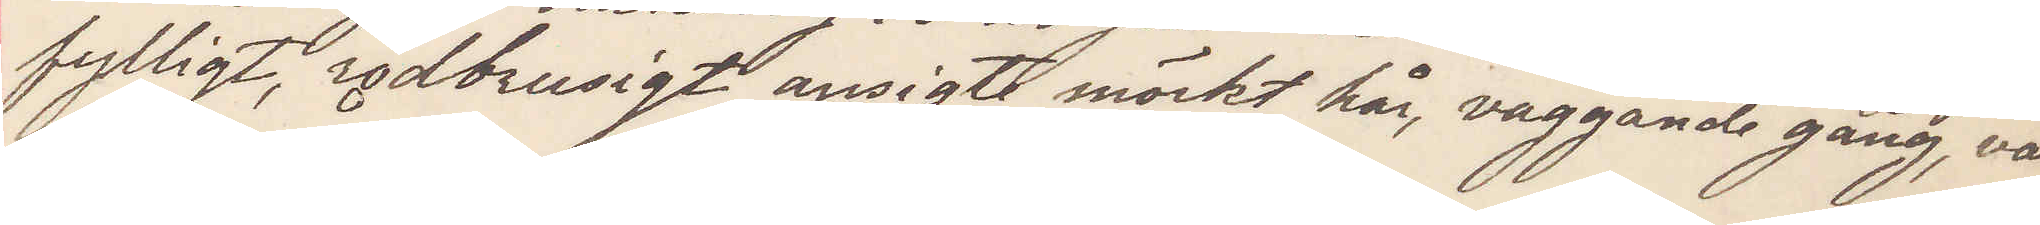fylligt, rödbrusigt ansigte mörkt hår, vaggande gång, var
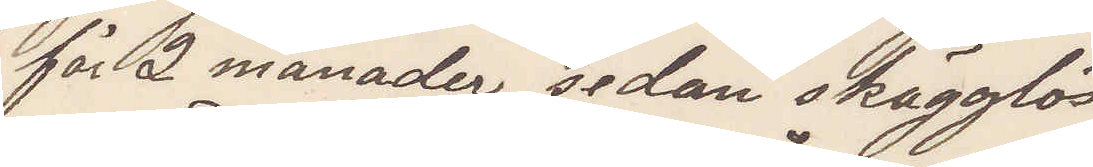för 2 månader sedan skägglös
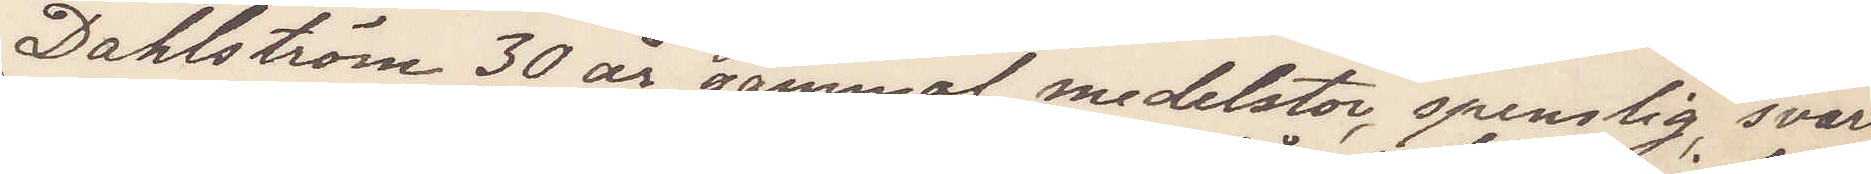Dahlström 30 år gammal medelstor, spenslig, svart
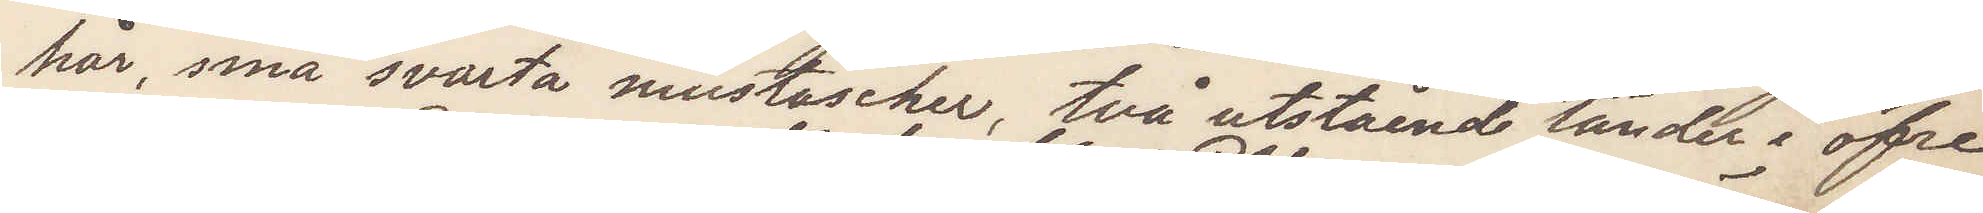hår, små svarta mustascher, två utstående tänder i öfre
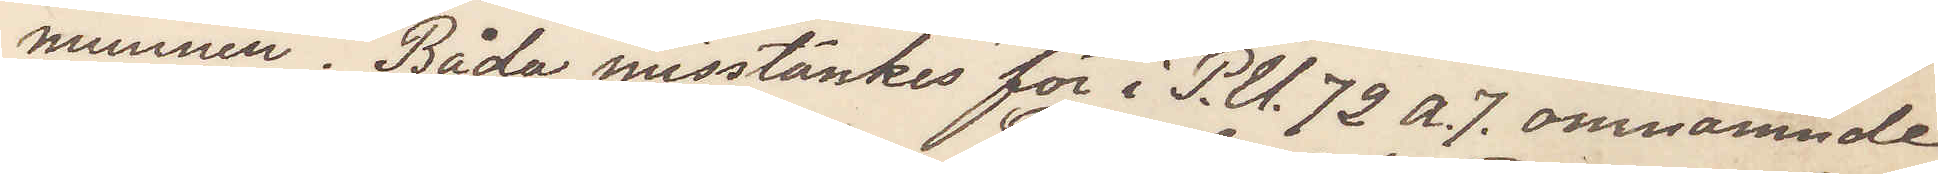munnen. Båda misstänkes för i P. U. 72 a. 7. omnämnde
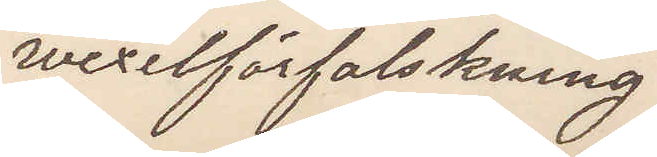wexelförfalskning.
